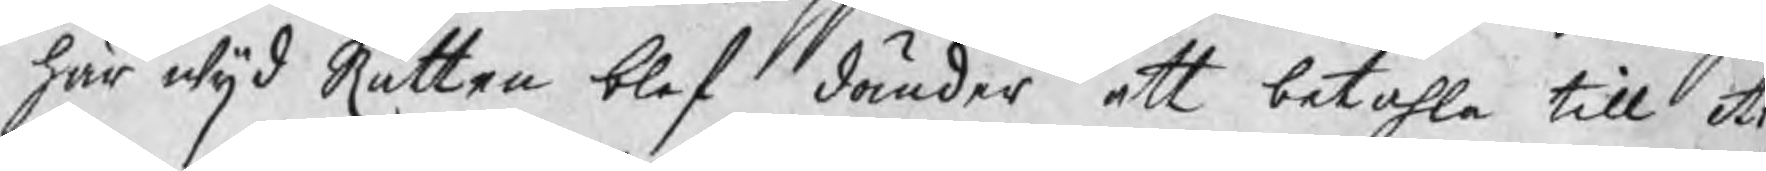här wijd Rätten blef dömder att betahla till A
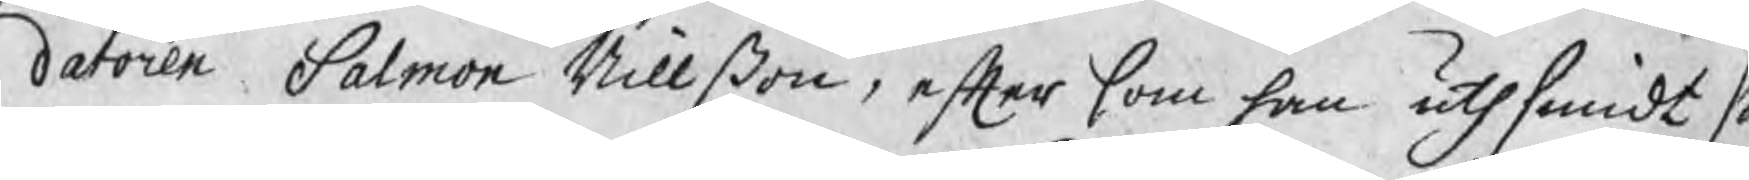datoren Salmon Nillßon, efter som han uthsmidt sa
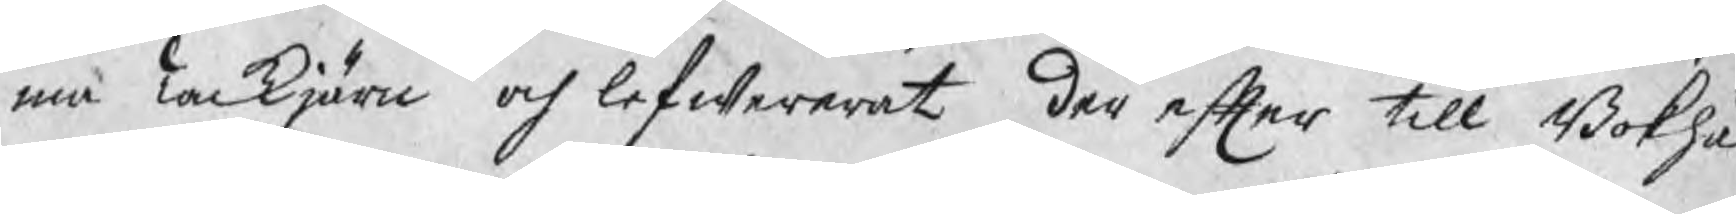ma Tackjärn och lefwererat der efter till Bokhål
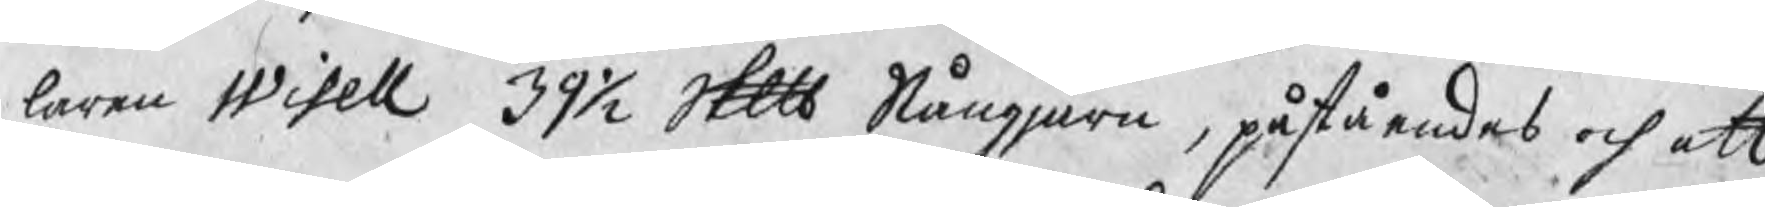laren Wisell 39½ Skp Stångjärn, påståendes och att
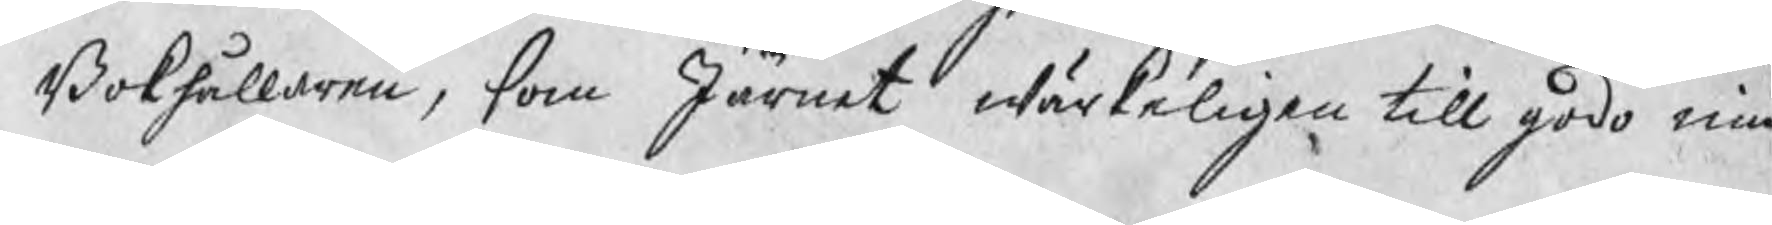Bokhållaren, som Järnet wärkeligen till godo niu
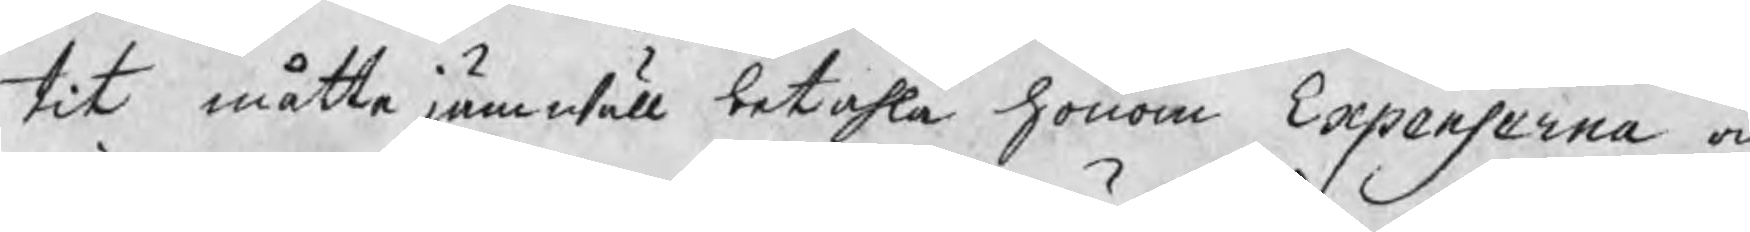tit måtte jämwäll betahla honom Expenserna och
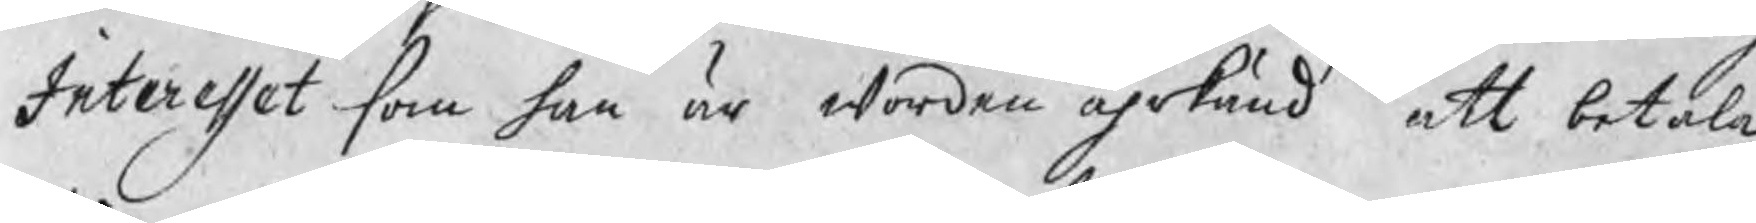Interesset som han är worden ährkänd att betala
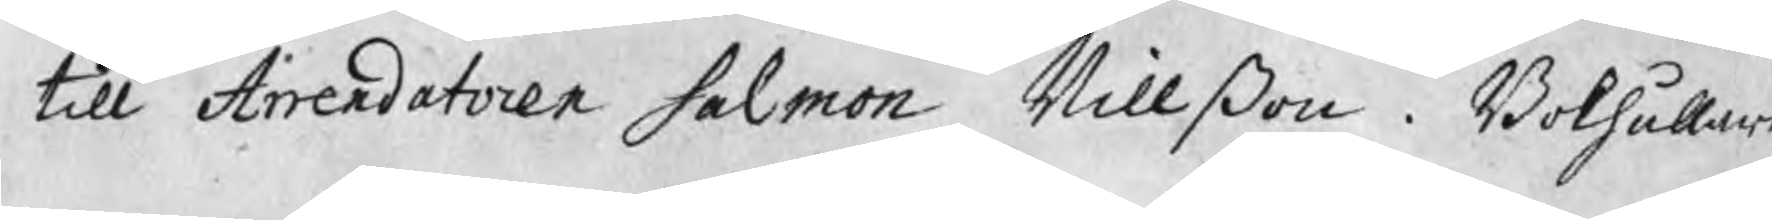till Arrendatoren Salmon Nillßon. Bokhållar
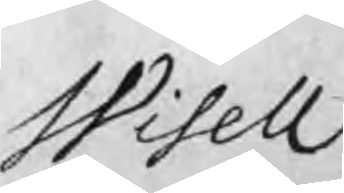Wisell
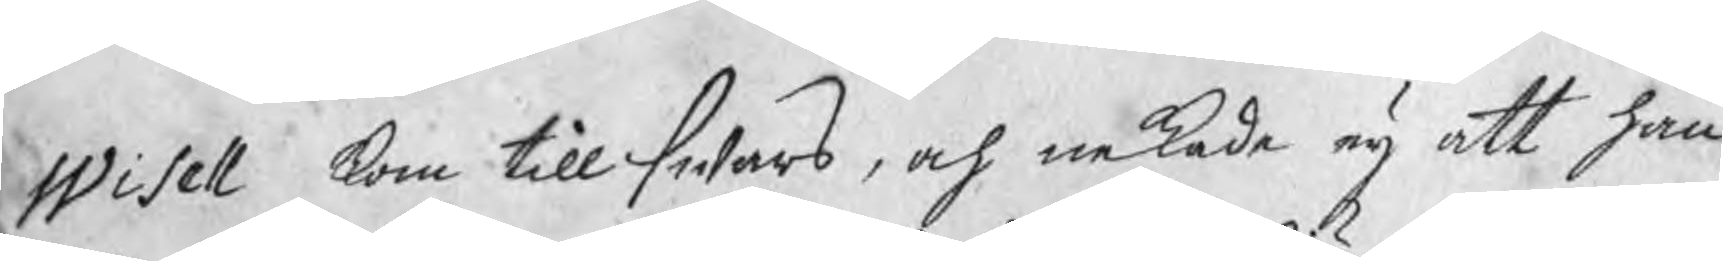Wisell kom till swars, och nekade eij att han
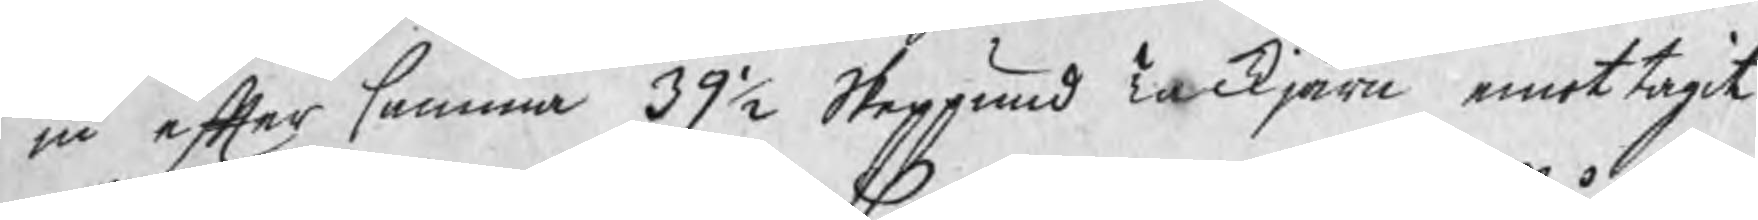iu efter samma 39½ Skeppund Tackjärn emottagit
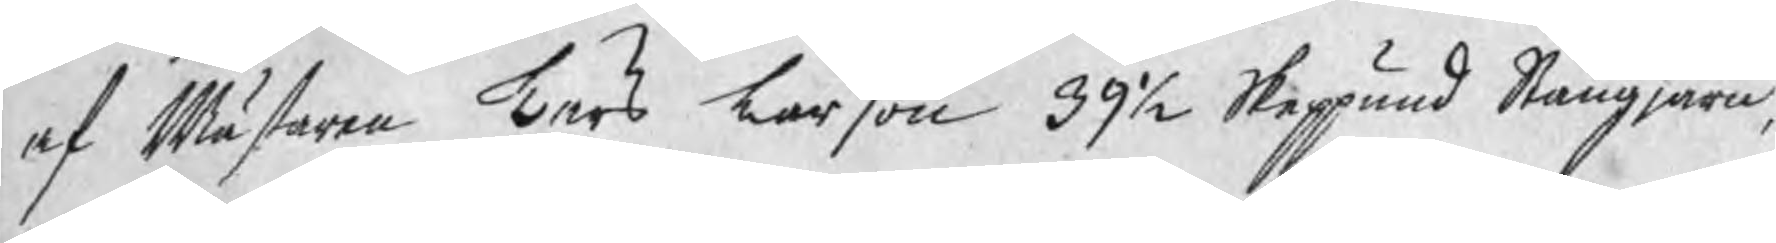af Mästaren Lars Larßon 39½ Skeppund Stångjärn,
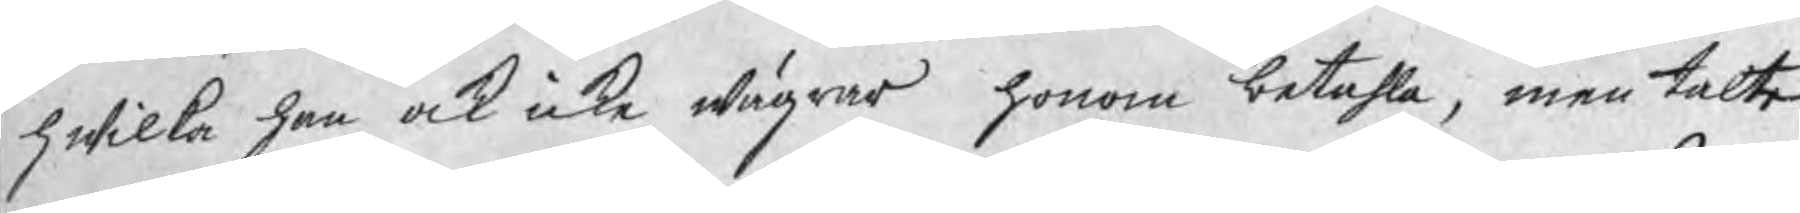hwilka han ock icke wägrar honom betahla, men talte
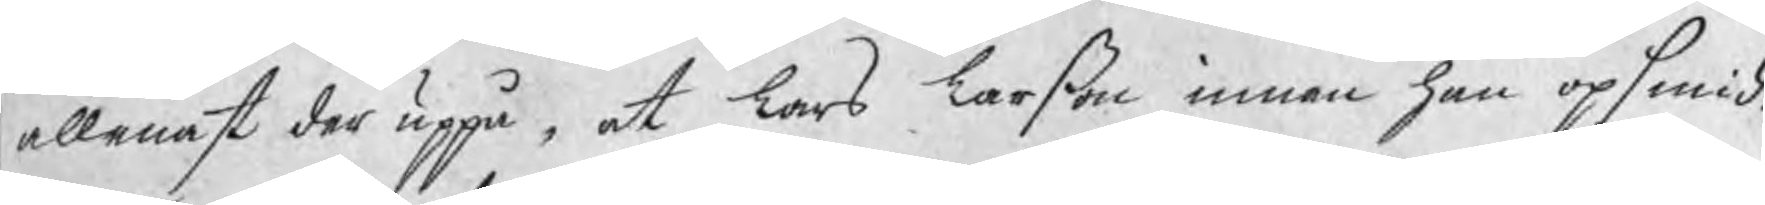allenast der uppå, at Lars Larßon innan han opsmid¬
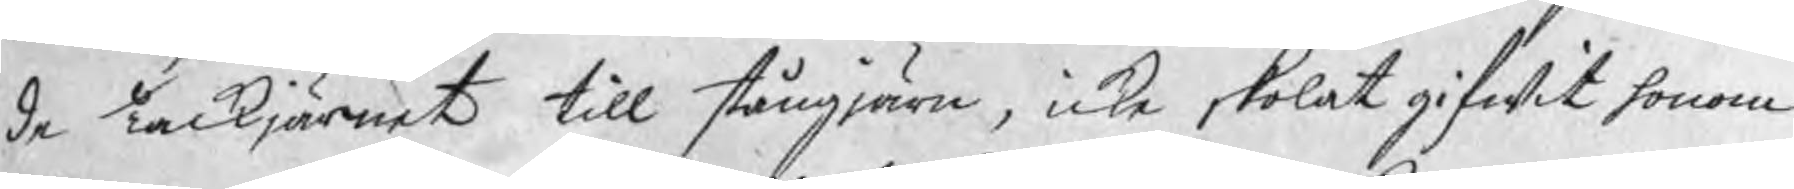de Tackjärnet till stångjärn, icke skolat gifwit honom
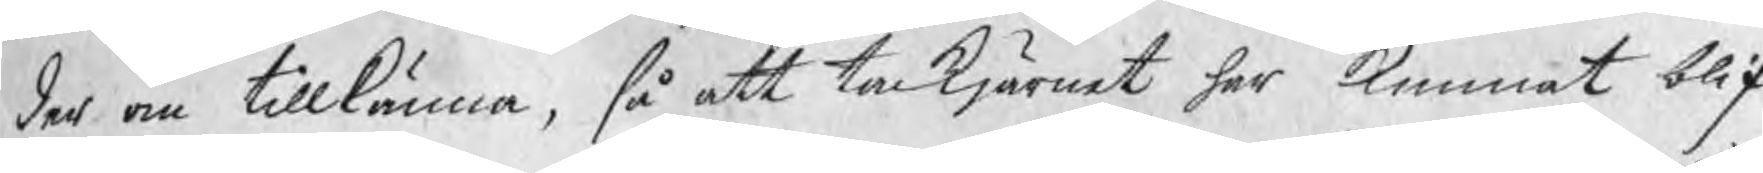der om tillkänna, så att tackjärnet har kunnat blif¬
